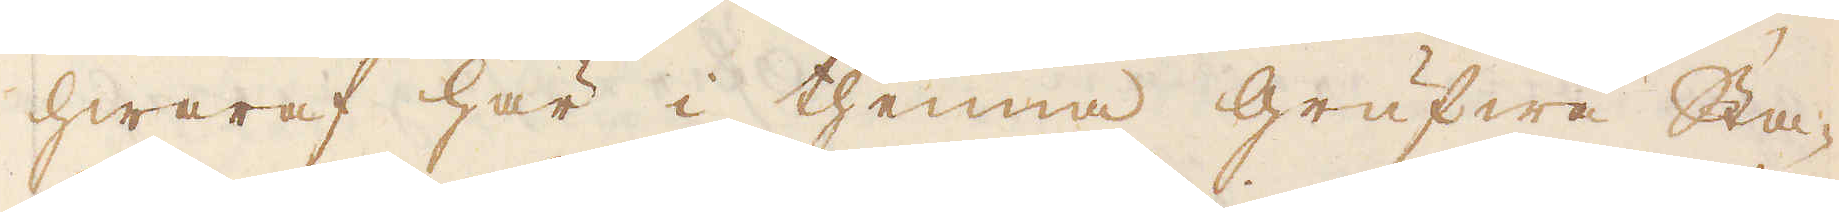hwaraf här i thenna grufwa Sta-
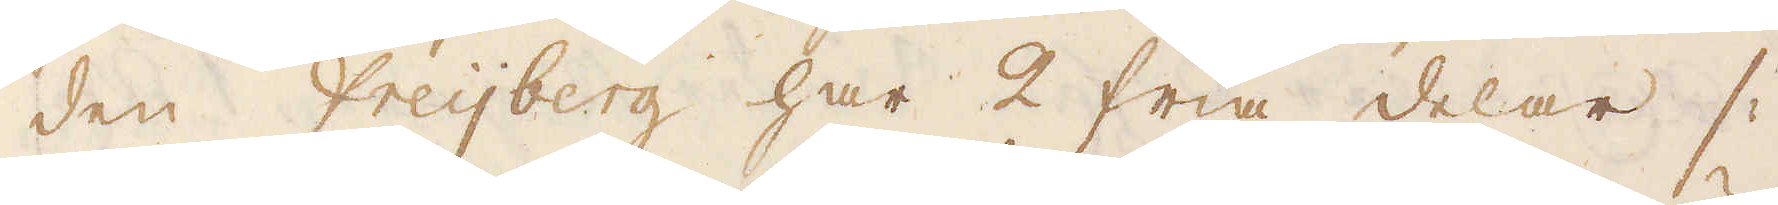den Freijberg har 2 fria delar /:
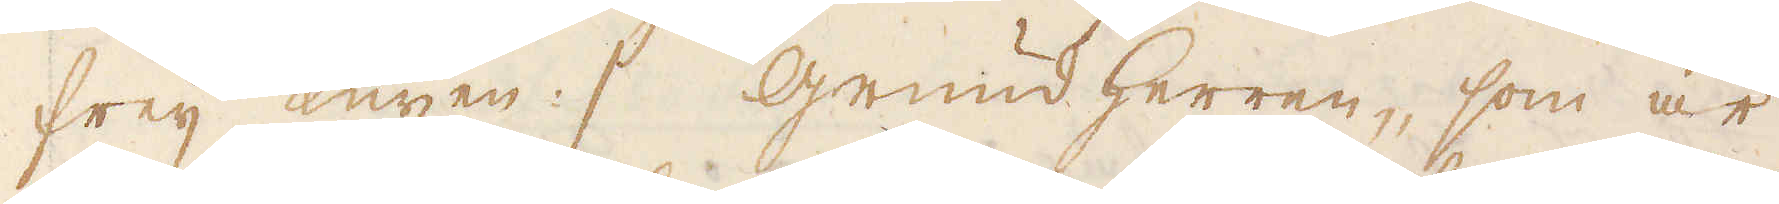freij Kuxen :/ grund herren, som är
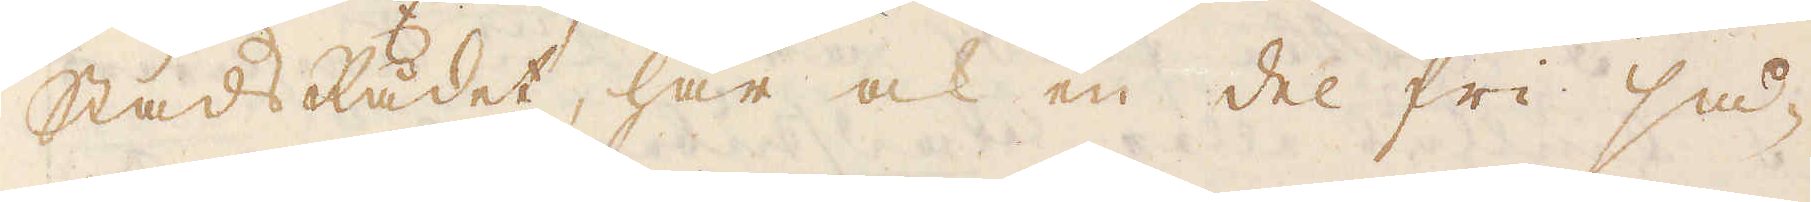StadsRådet, har ock en del fri så-
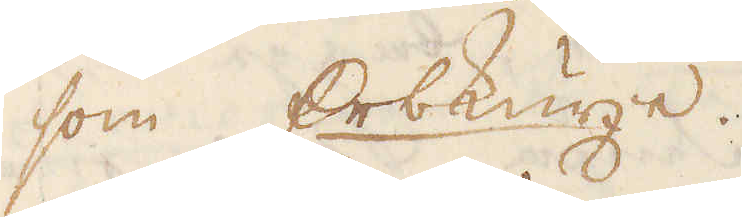som Erbkuxe.
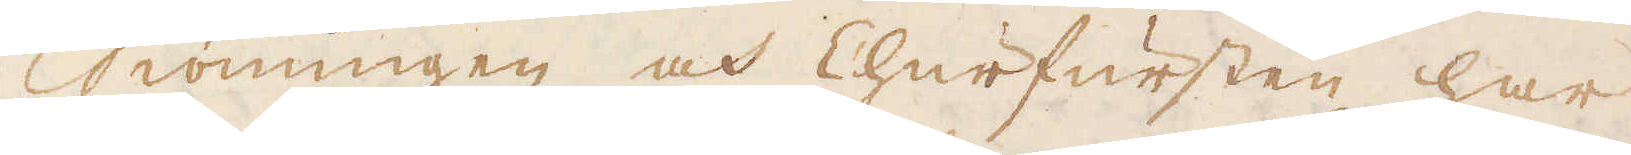Konungen och Churfursten har
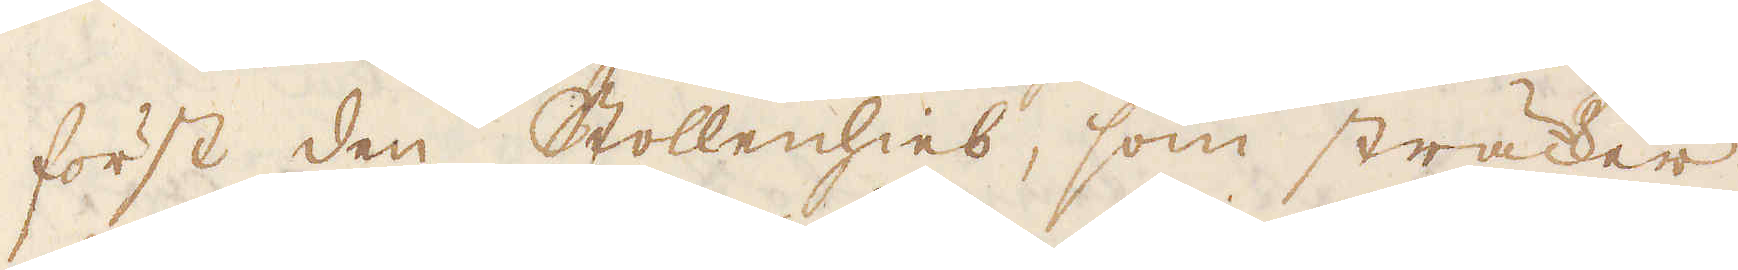först den Stollenhies, som sträcker
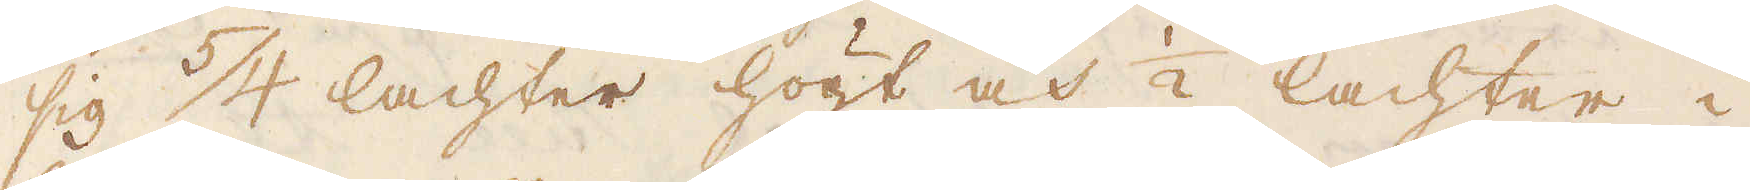sig 5/4 lachter högt och 1/2 lachter i
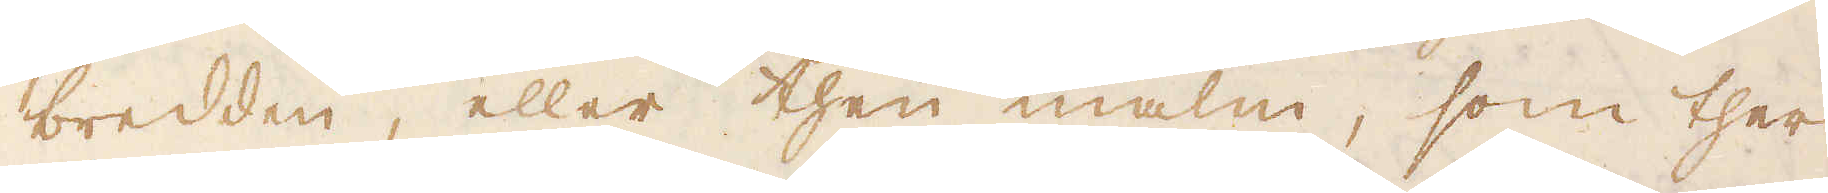bredden, eller then malm, som ther
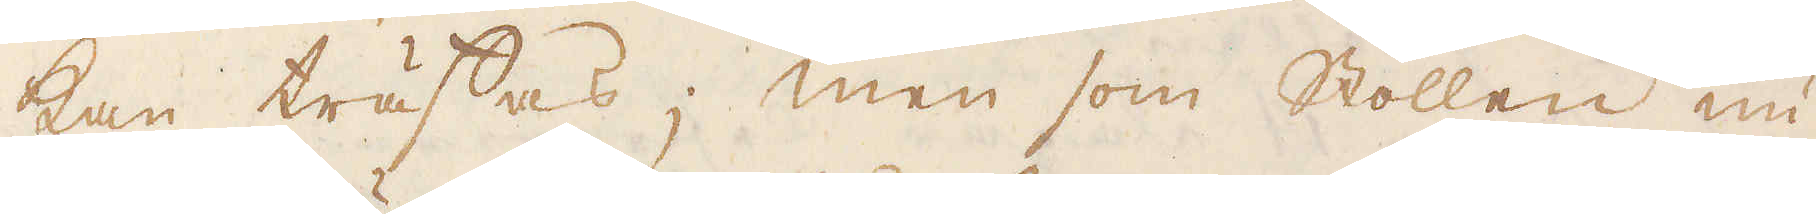kan träffas; men som Stollen nu
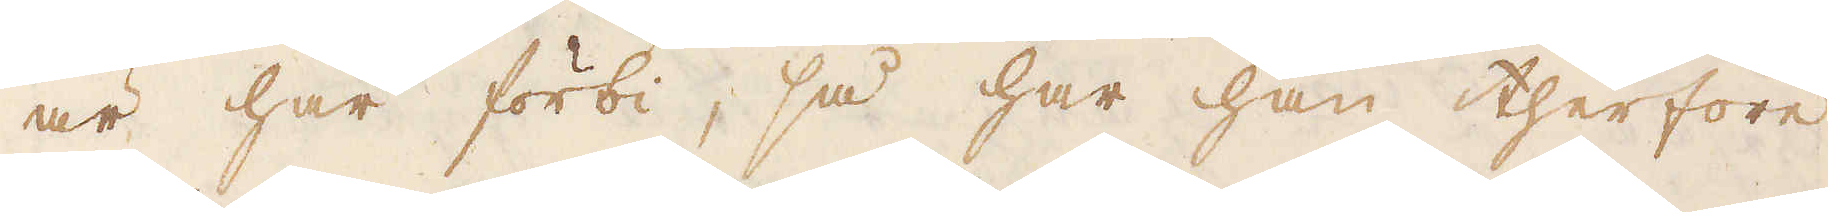är här förbi, så har han therföre
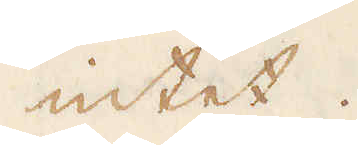intet.
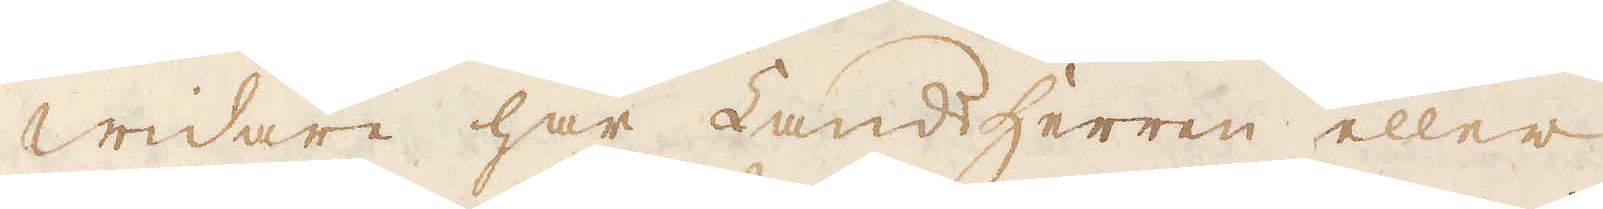Widare har Landherren eller
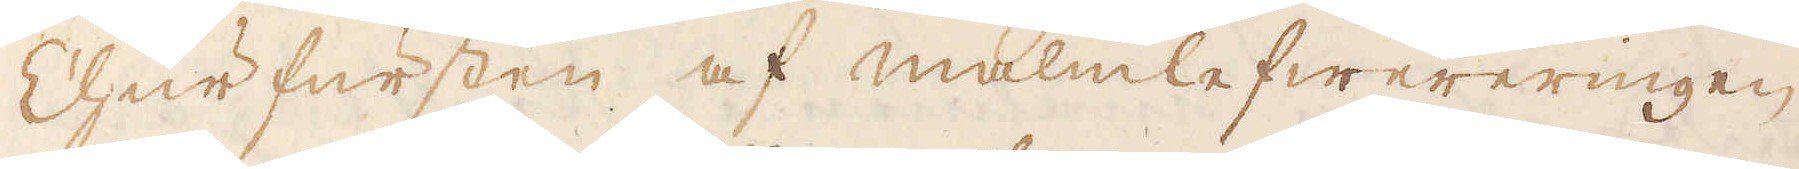Churfursten af malmlefwereringen
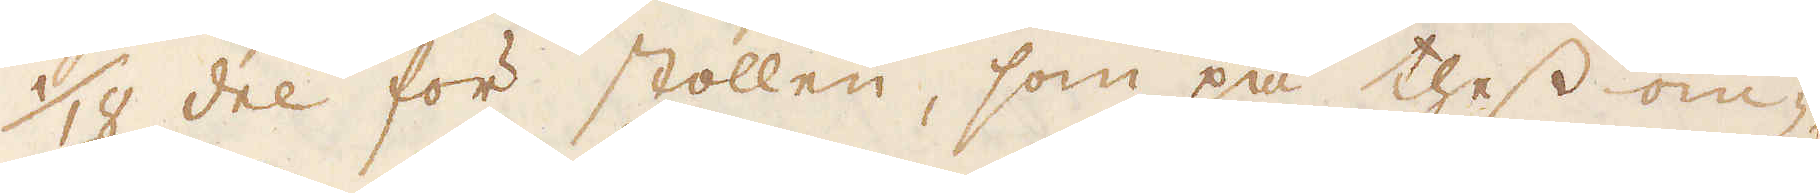1/18 del för stollen, som på thess om-
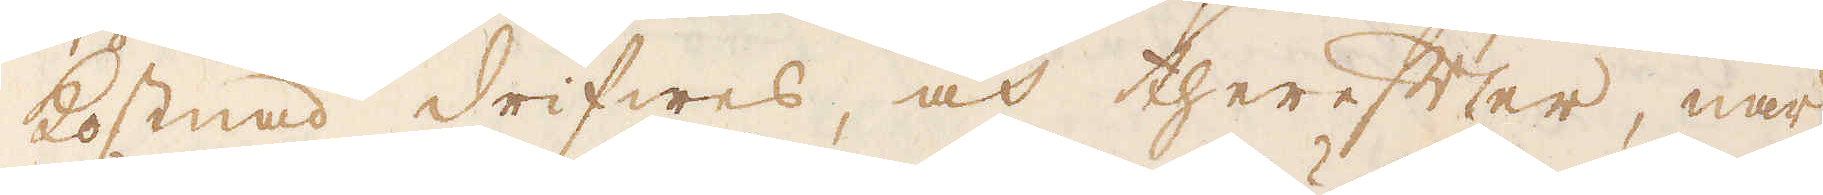kostnad drifwes, och therefter, när
